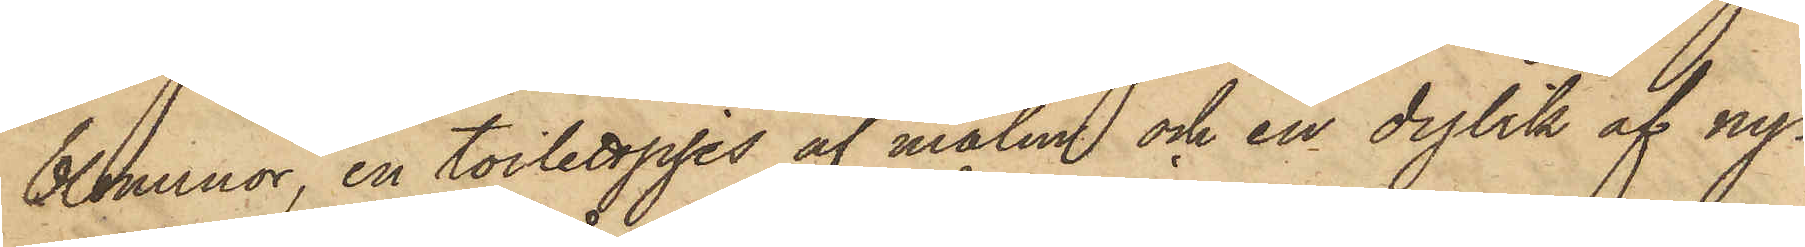blommor, en toilettpjes af malm och en dylik af ny¬
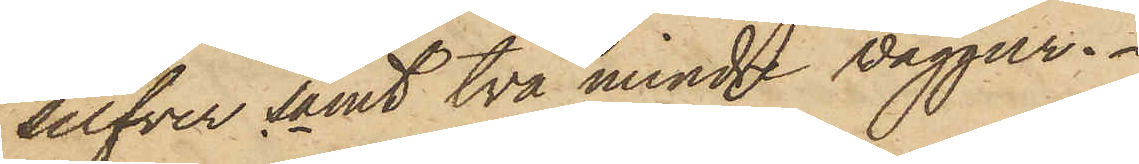silfver samt två mindre väggur.
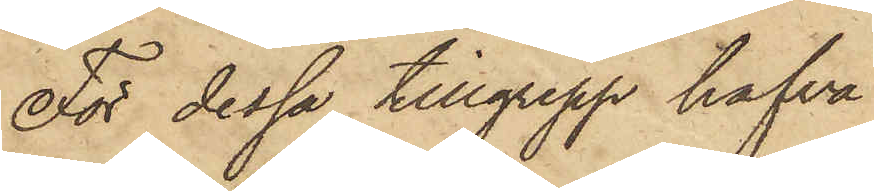För dessa tillgrepp hafva
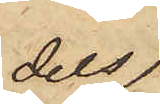dels
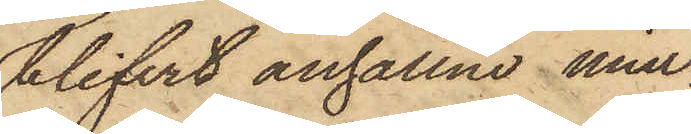blifvit anhållne min¬
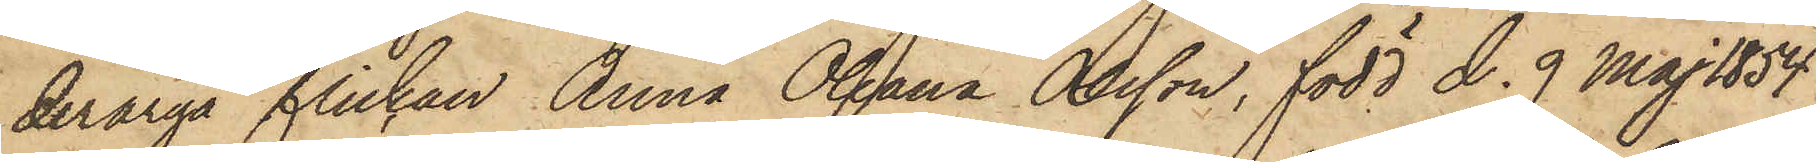deråriga flickan Anna Oleana Olsson, född d. 9 Maj 1854
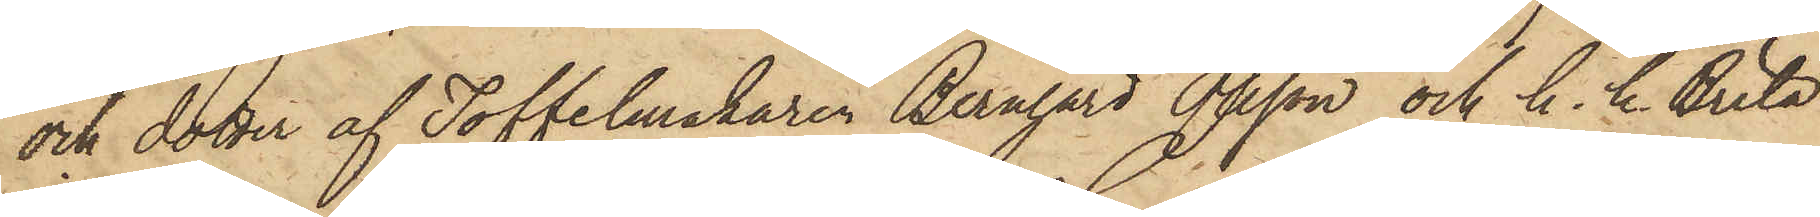och dotter af Toffelmakaren Bernhard Olsson och h. h. Brita
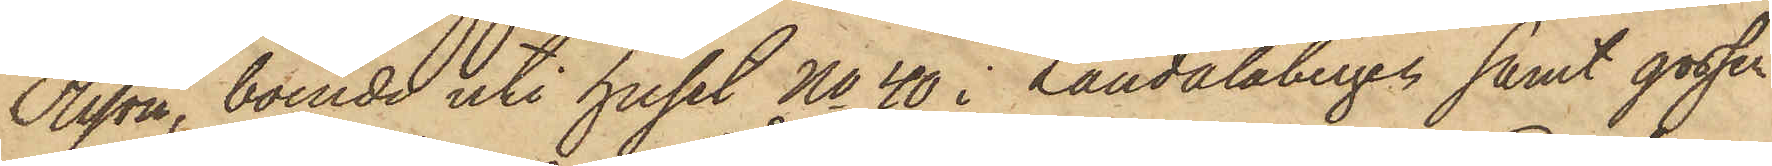Olsson, boende uti huset No 40 i Landalabergen samt gossen
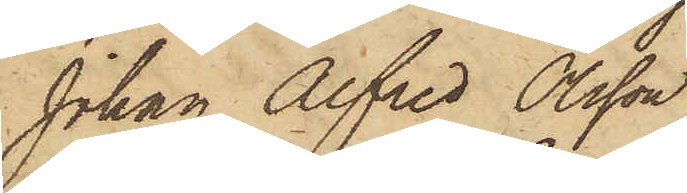Johan Alfred Olsson, 
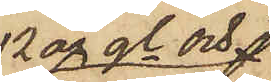12 år gl. och 
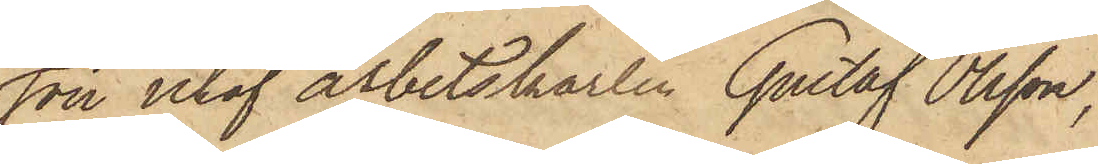son utaf arbetskarlen Gustaf Olsson,
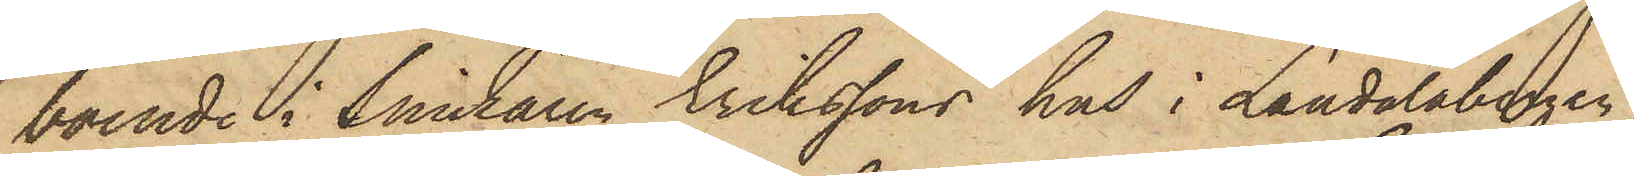boende i Snickaren Erikssons hus i Landalabergen
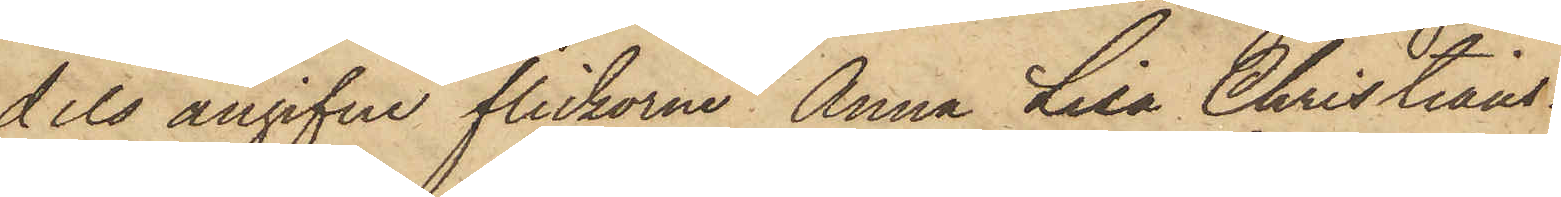dels angifne flickorna Anna Lisa Christians¬
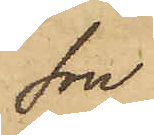son
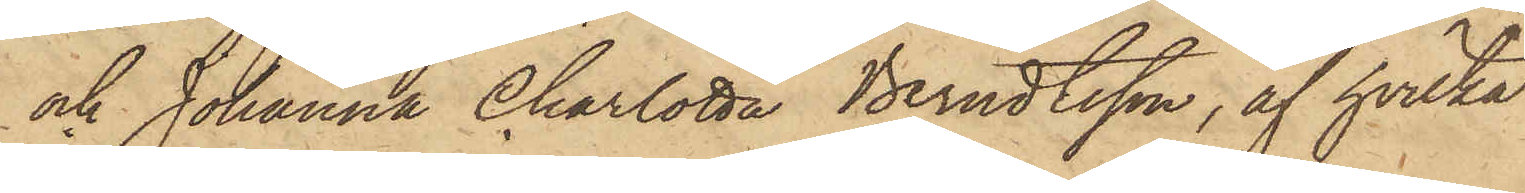och Johanna Charlotta Berndtsson, af hvilka
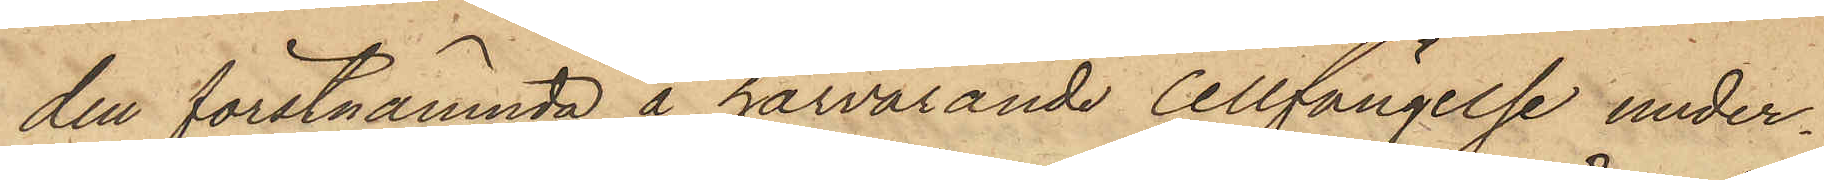den förstnämnda å härvarande Cellfängelse under¬
